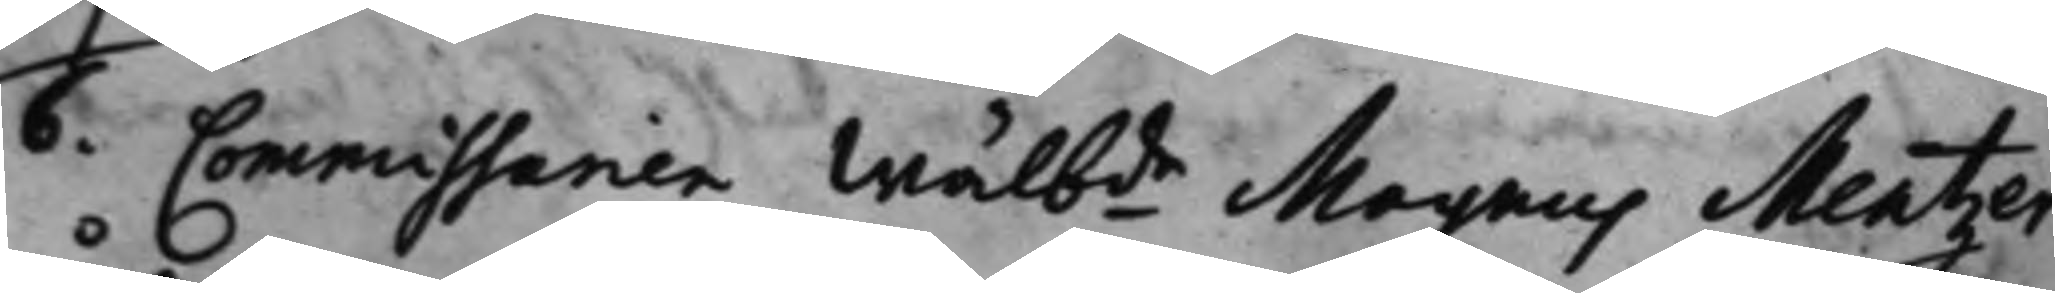6. Commissarien Wälbde Magnus Mentzer 
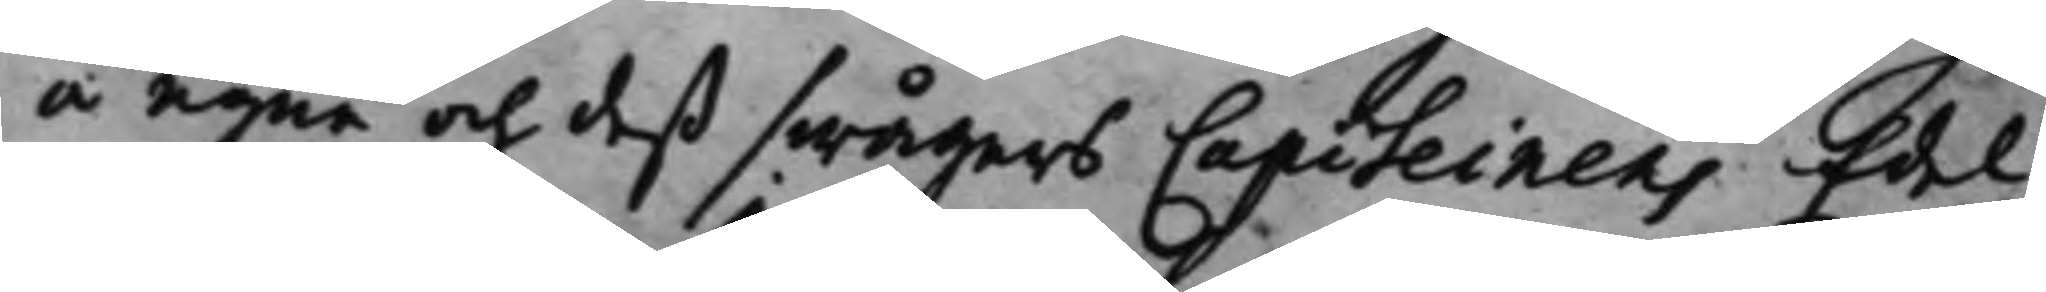å egne och deß swågers Capiteinens Edel
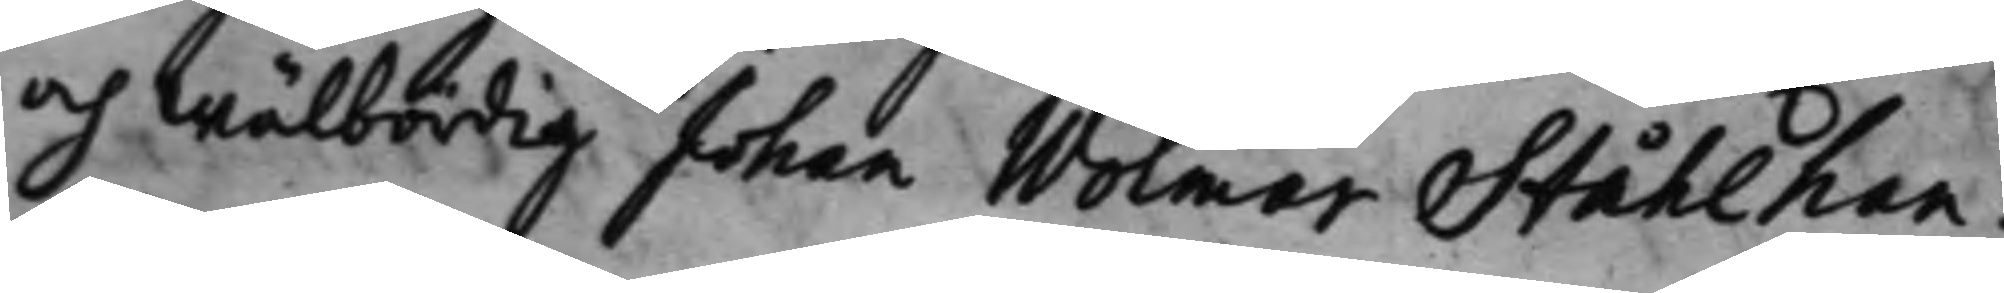och Wälbördig Johan Wolmar Ståhlhan¬
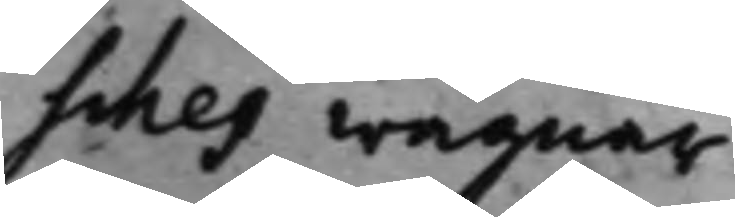sches wägnar.
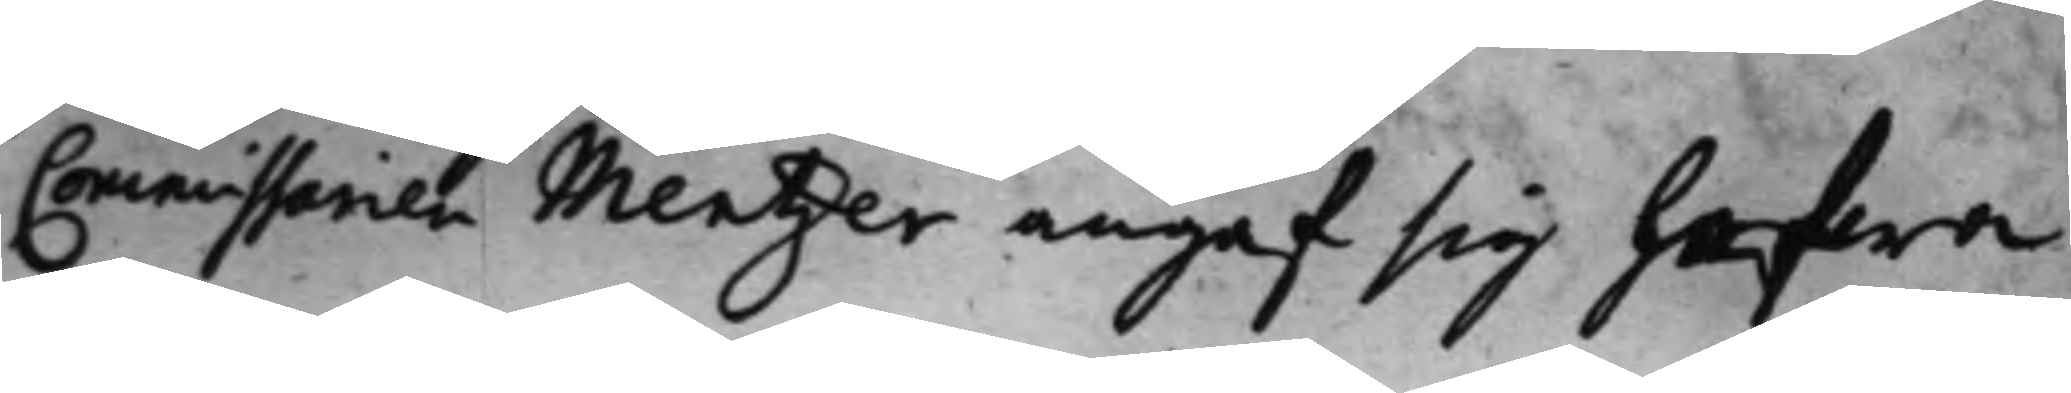Commissarien Mentzer angaf sig hafwa
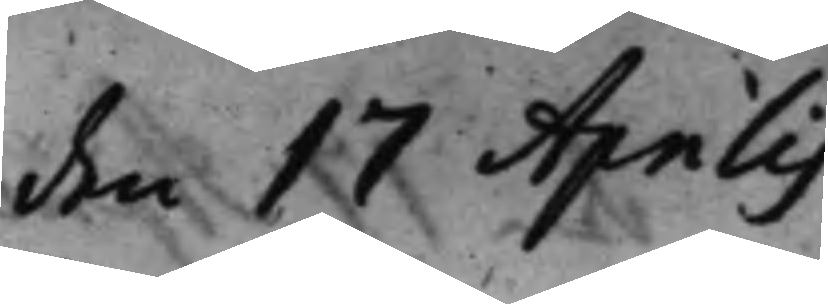den 17 Aprilis.
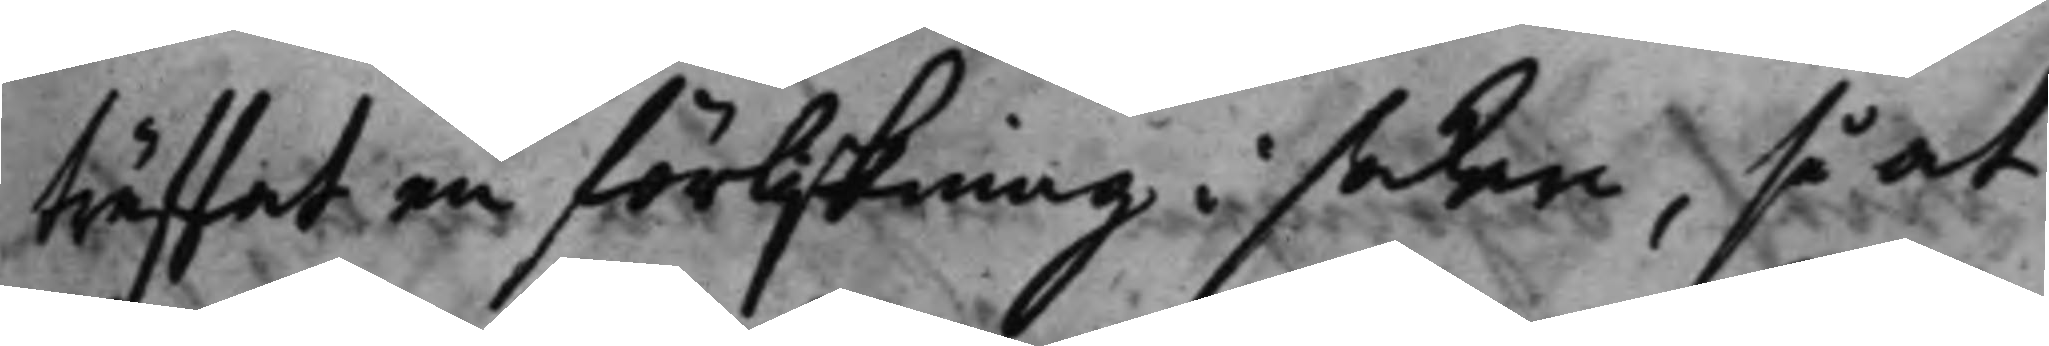träffat en förlikning i saken, så at
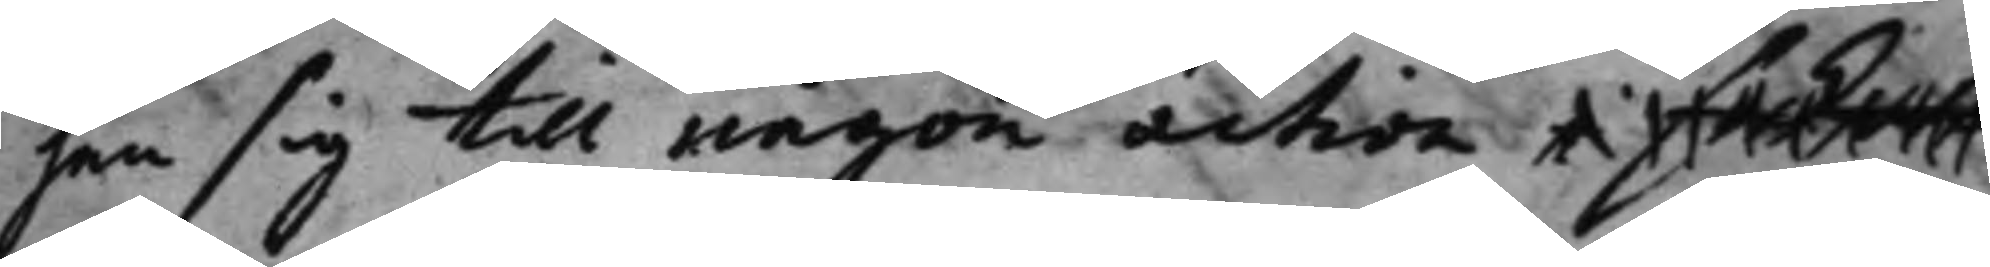han sig till någon action i saken
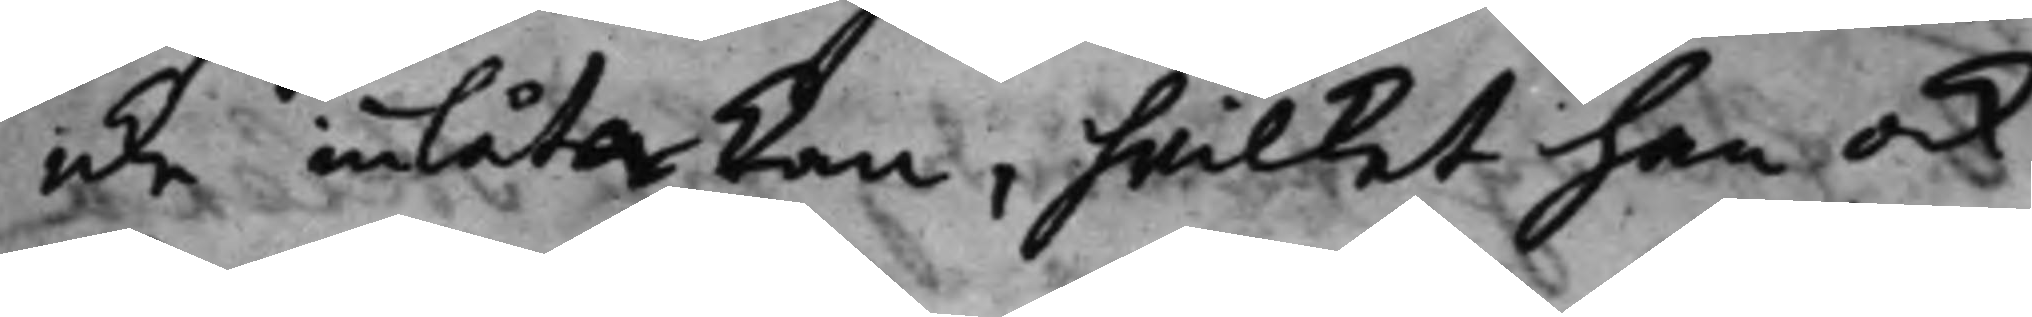icke inlåta kan, hvilket han ock
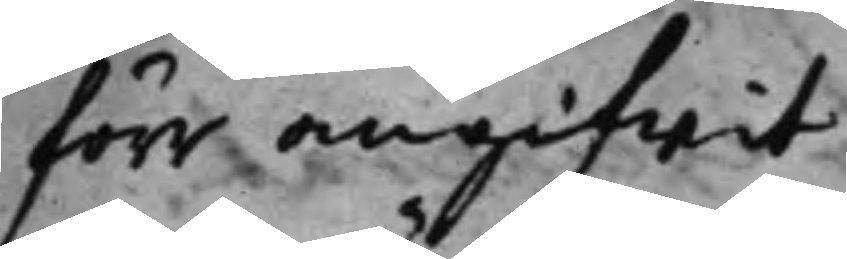förr angifwit.
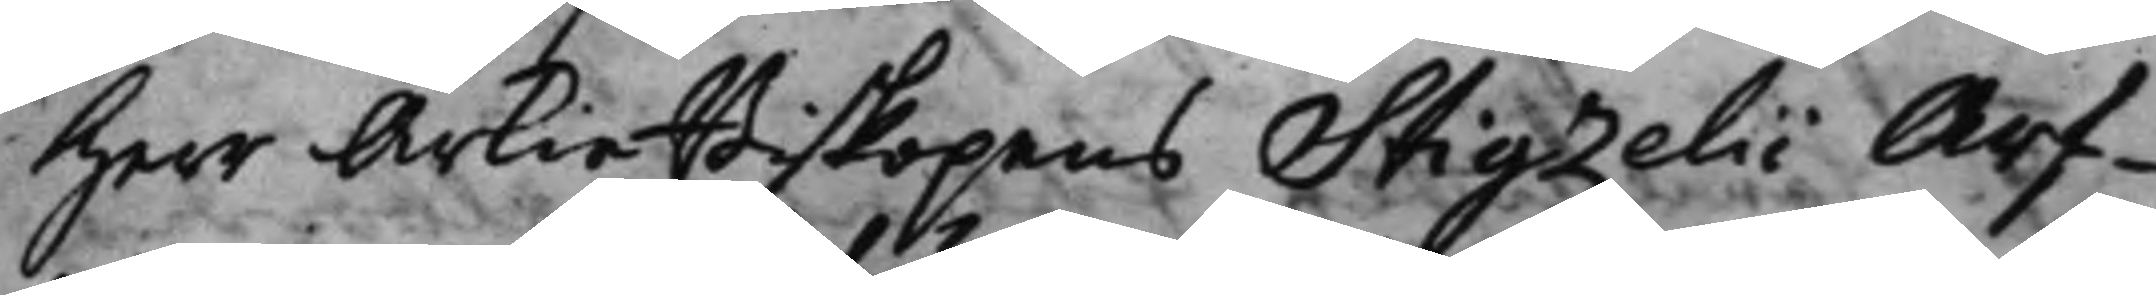Herr ÅrkieBiskopens Stigzelii Arf¬
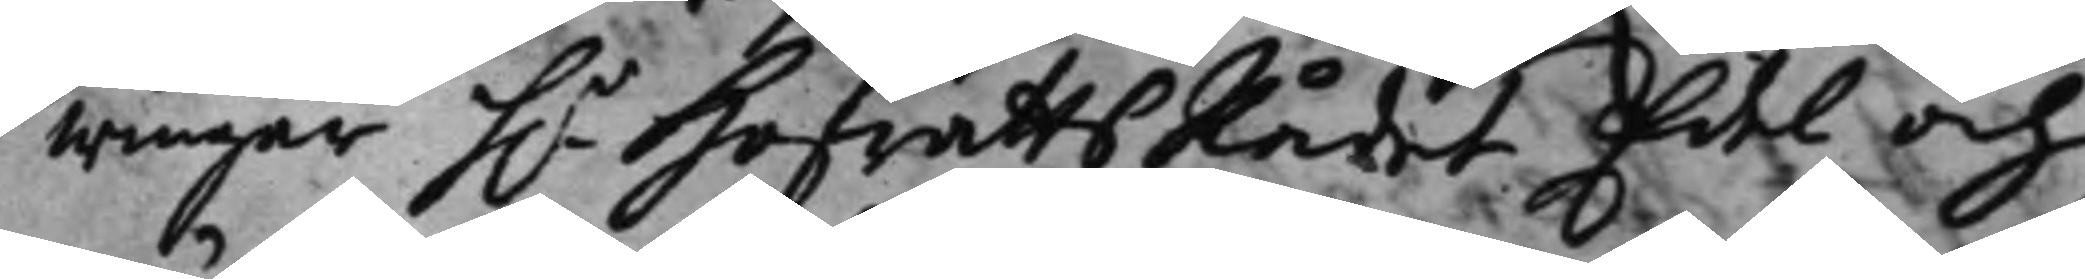wingar h.r HofrättsRådet Edel och 
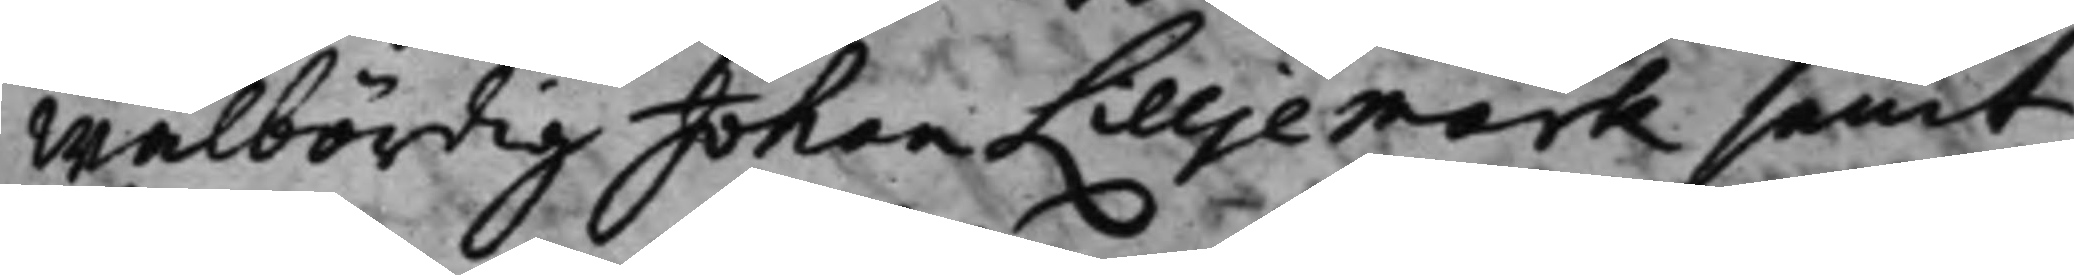Wälbördig Johan Lilljemark samt
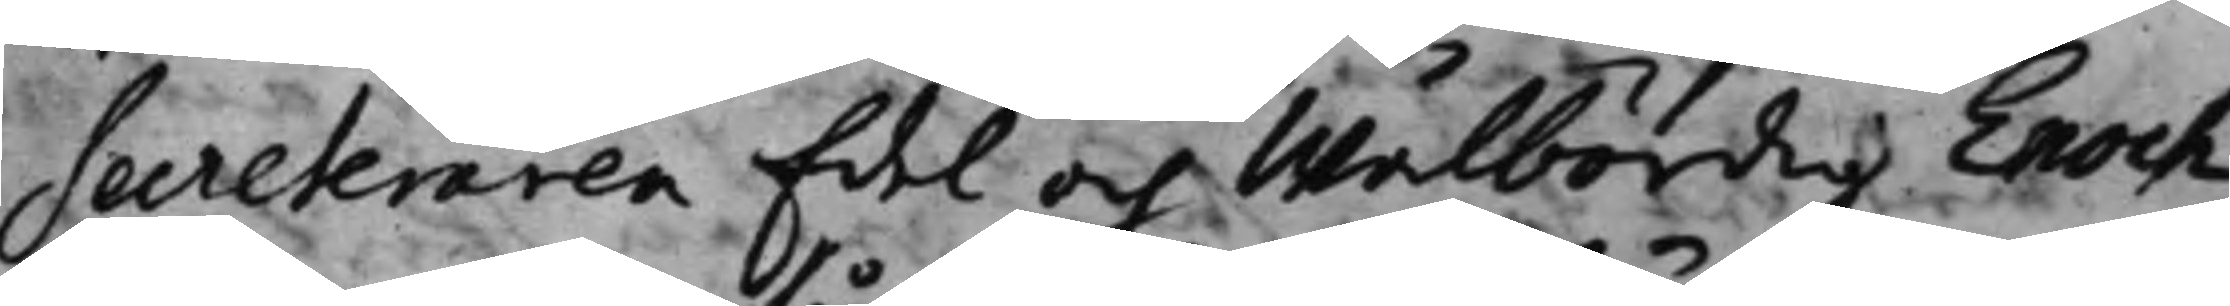Secreteraren Edel och Wälbördig Enoch
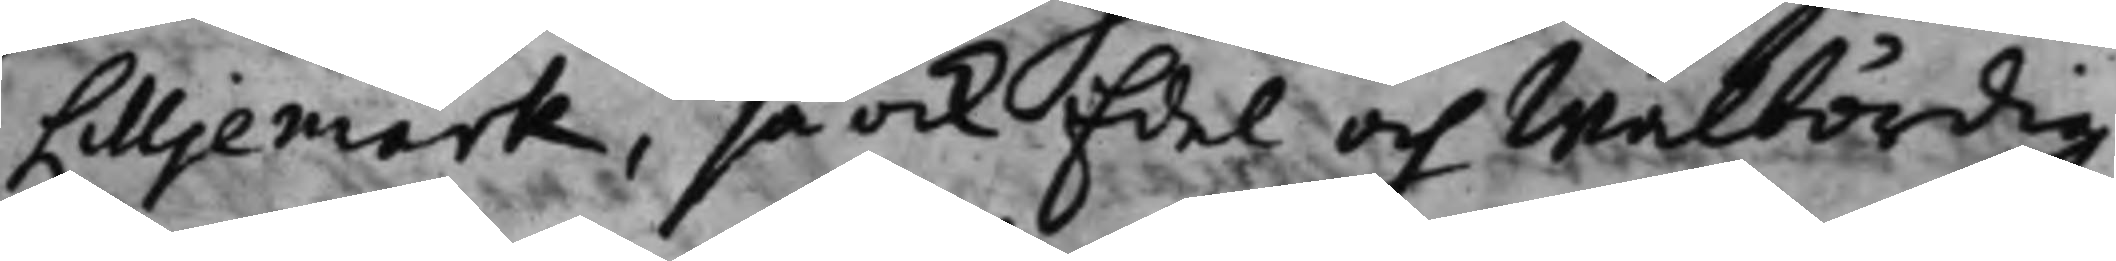Lilljemark, så ock Edel och Wälbördig
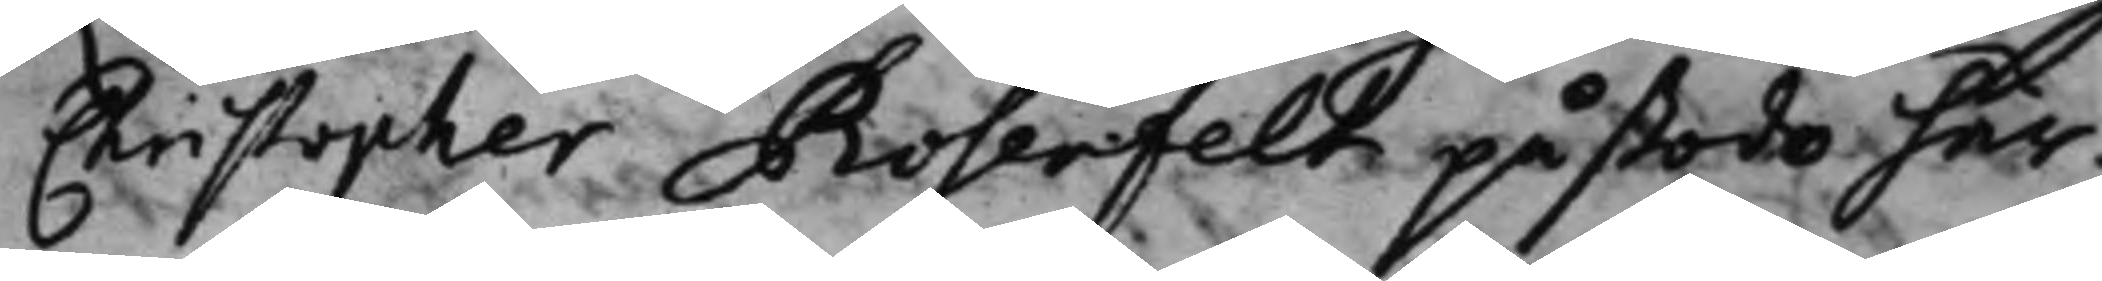Christopher Rosenfelt påstodo här¬
